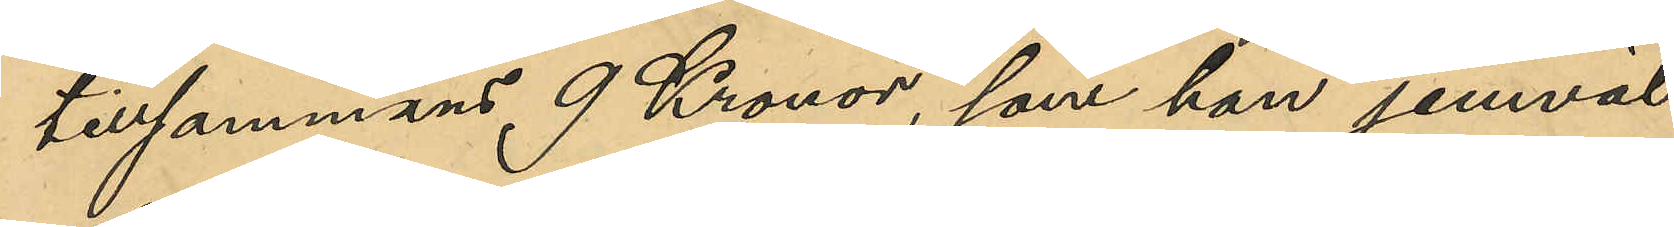tillsammans 9 Kronor, som han jemväl
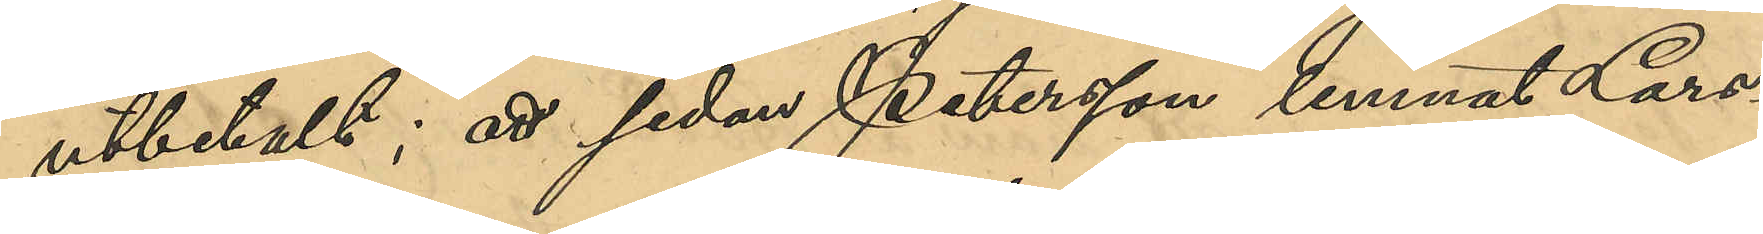utbetalt; att sedan Petersson lemnat Lars¬
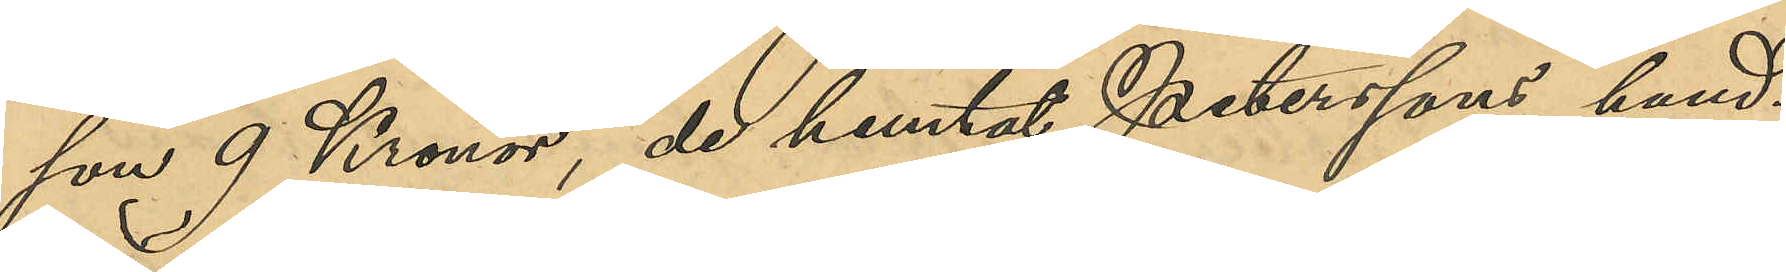son 9 Kronor, de hemtat Peterssons hand¬
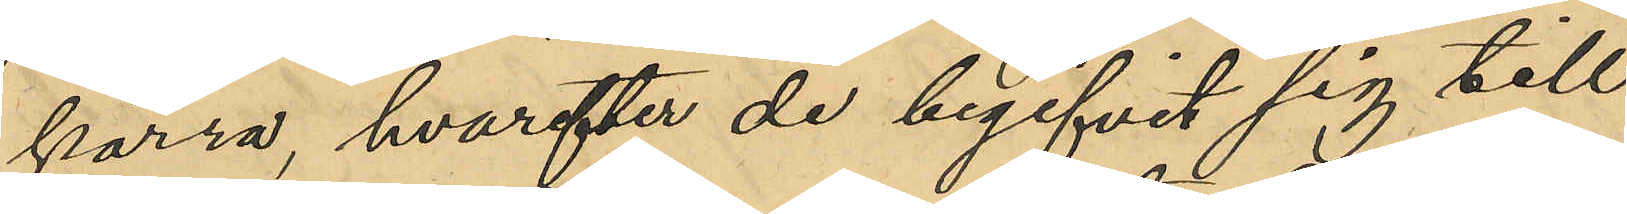kärra hvarefter de begifvit sig till
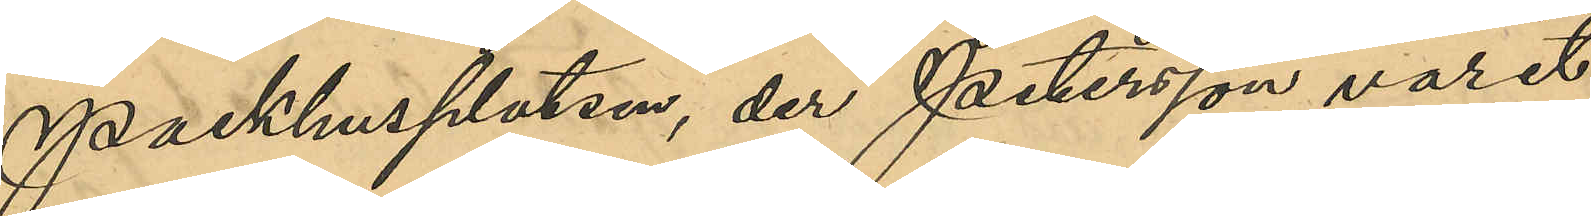Packhusplatsen, der Petersson varit
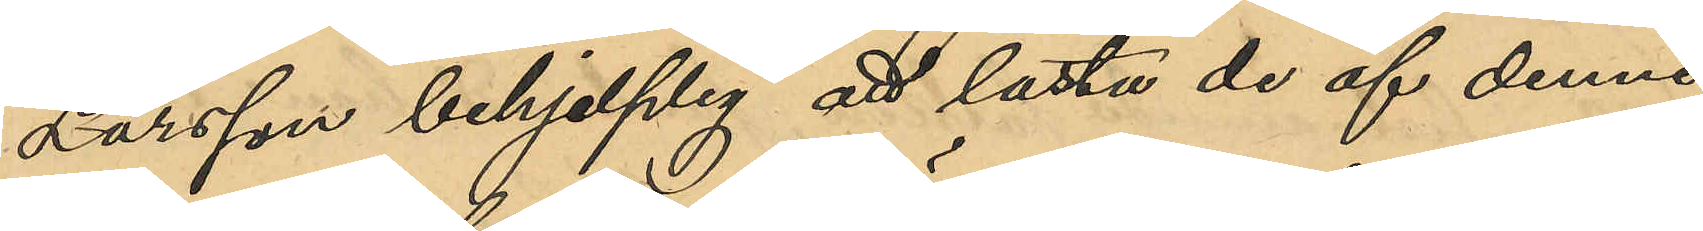Larsson behjelplig att lasta de af denne
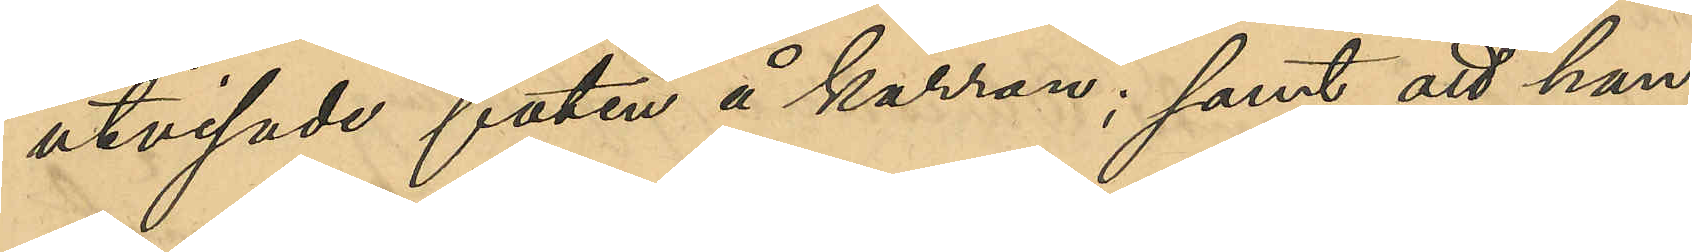utvisade faten å kärran; samt att han,
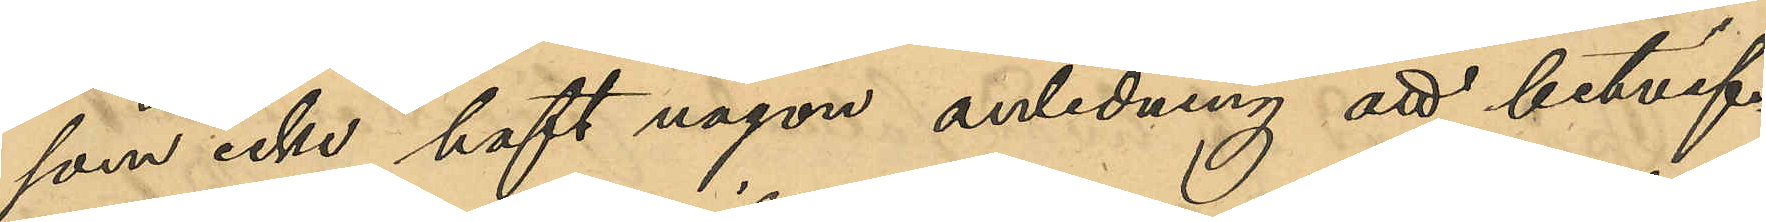som icke haft någon anledning att betvif¬
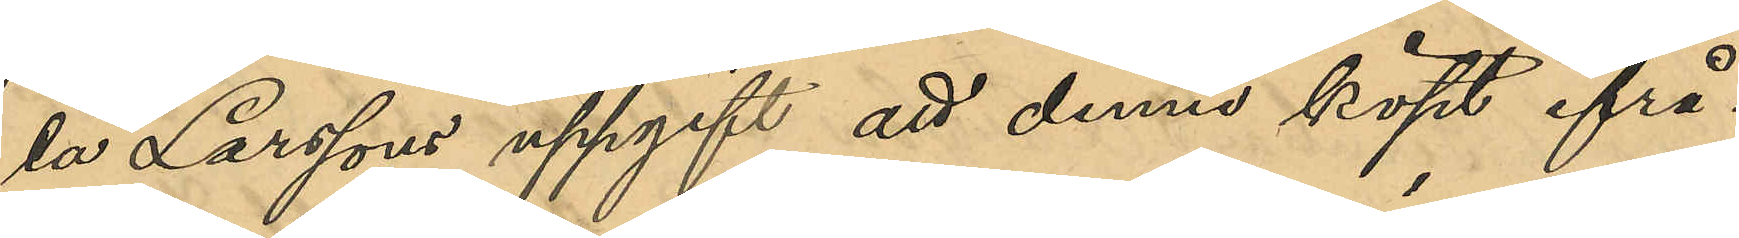la Larssons uppgift att denne köpt ifrå¬
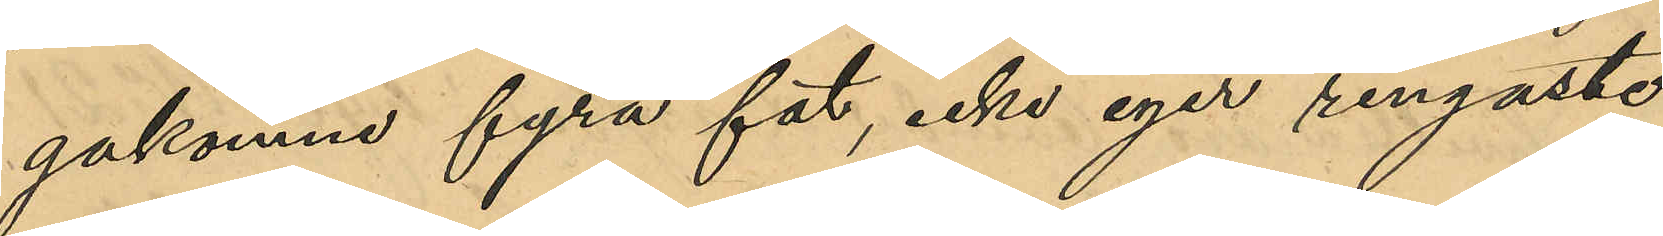gakomne fyra fat, icke eger ringaste
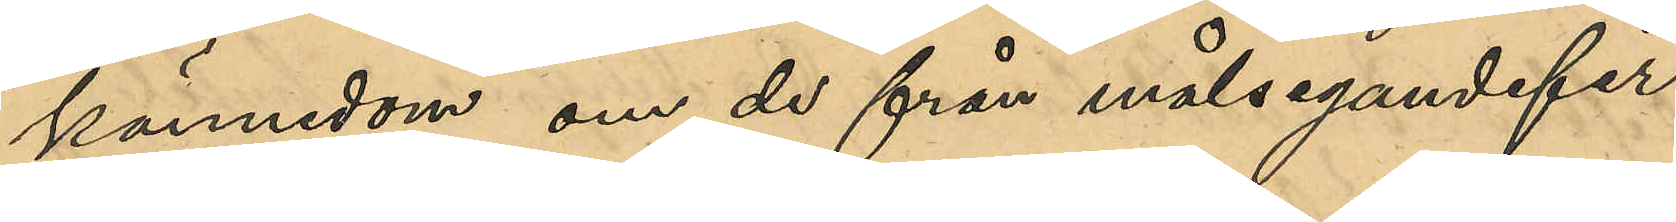kännedom om de från målsegandefir¬
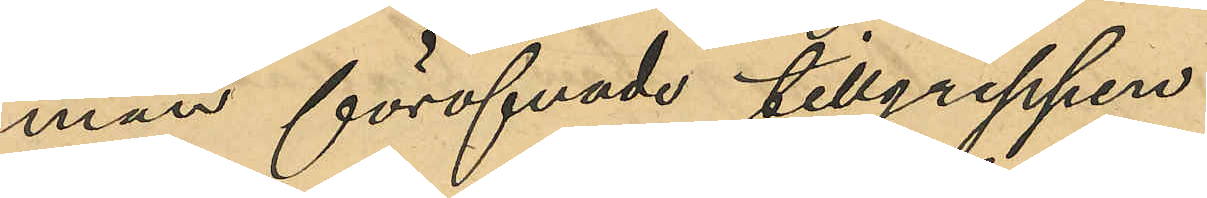man föröfvade tillgreppen
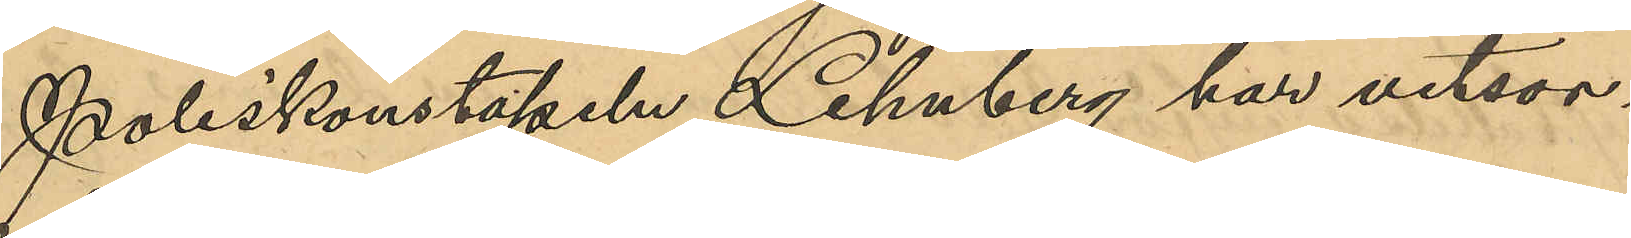Poliskonstapeln Lehnberg har vitsor¬
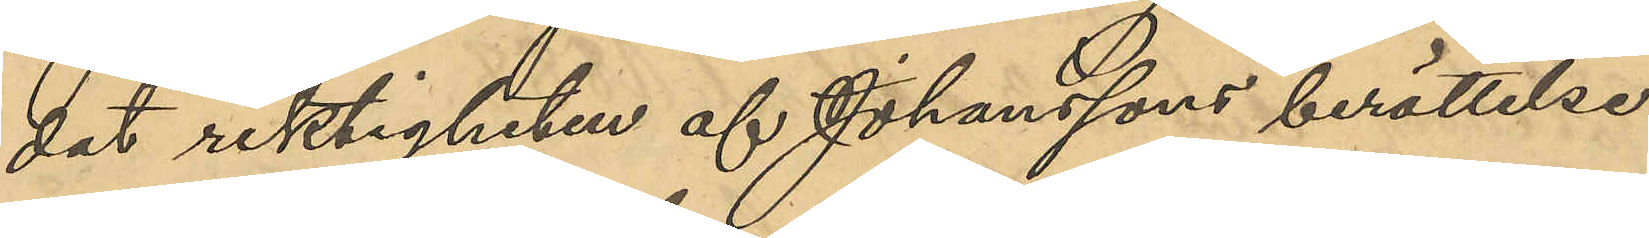dat riktigheten af Johanssons berättelse
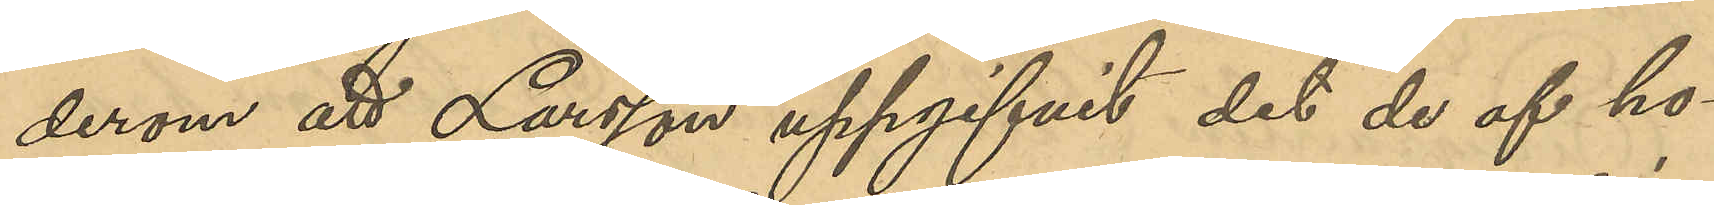derom att Larsson uppgifvit det de af ho¬
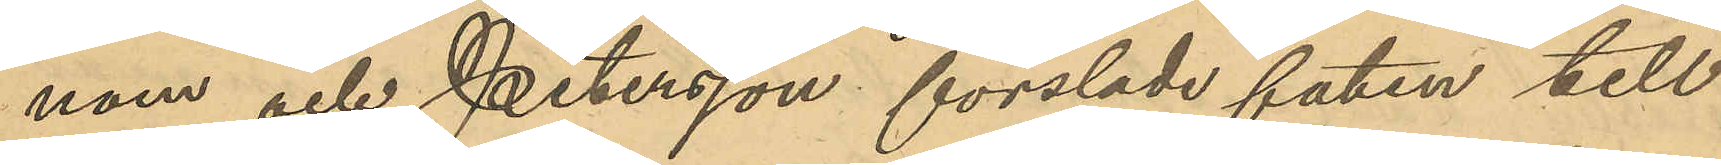nom och Petersson forslade faten till¬
